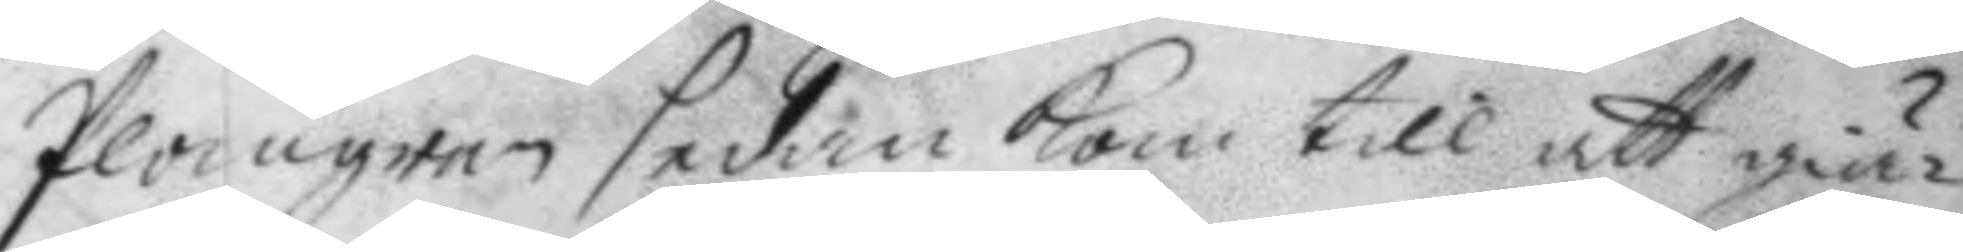Plogman sedan kom till att giä¬
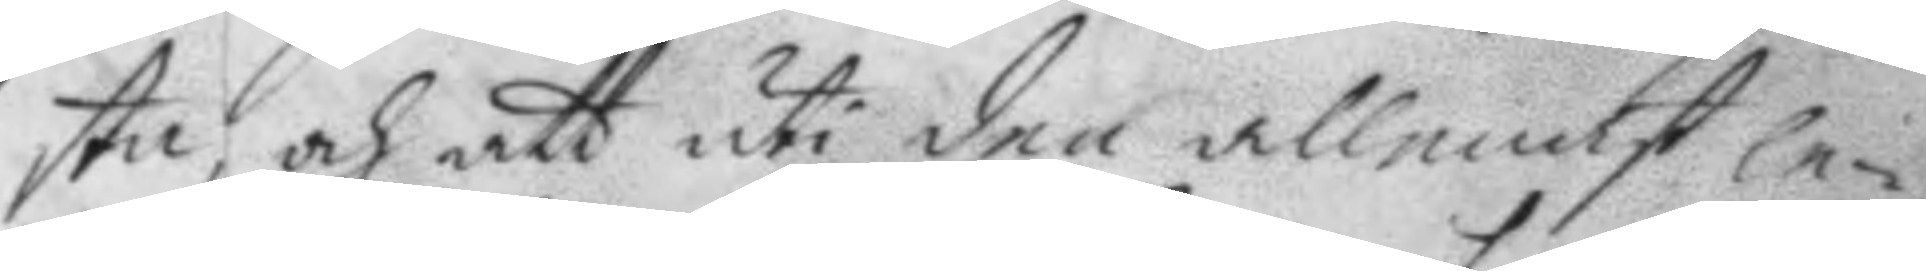sta, och att uti den allenast le¬
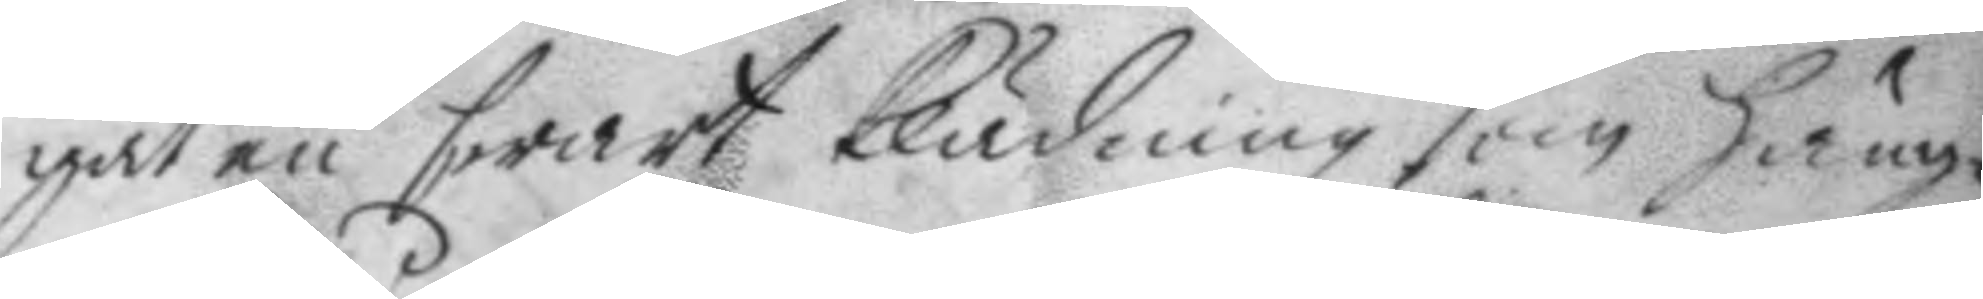gat en swart klädning som häng¬
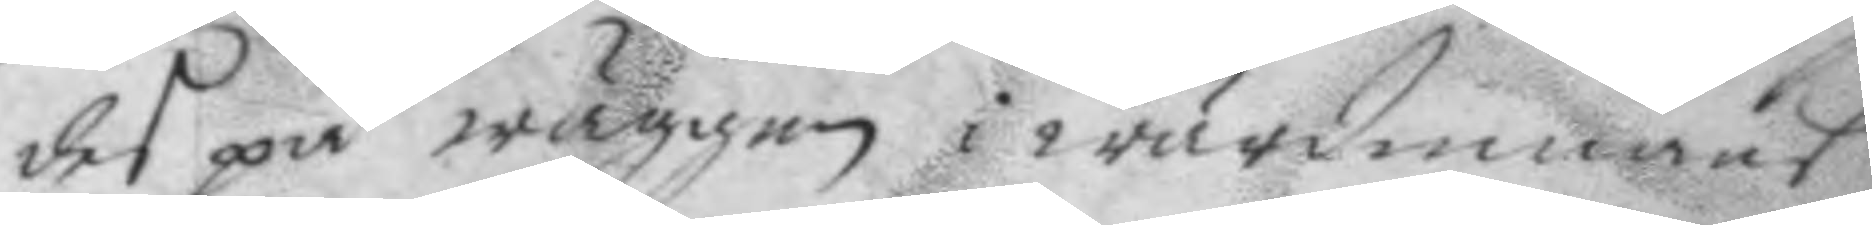des på wäggen i wärdinnans
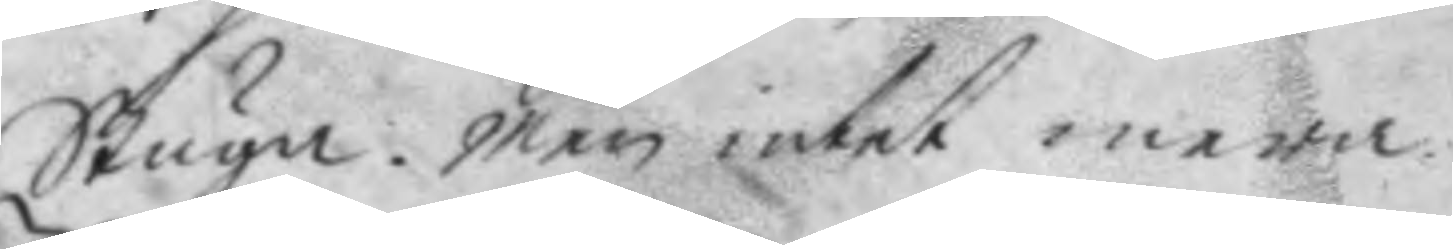Stuga. men intet mera.
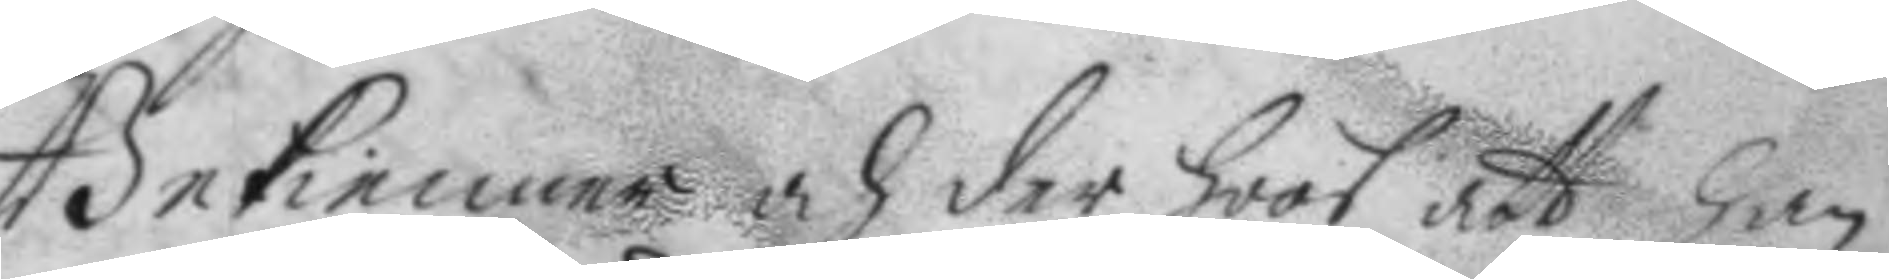Bekienner och der hoos att han
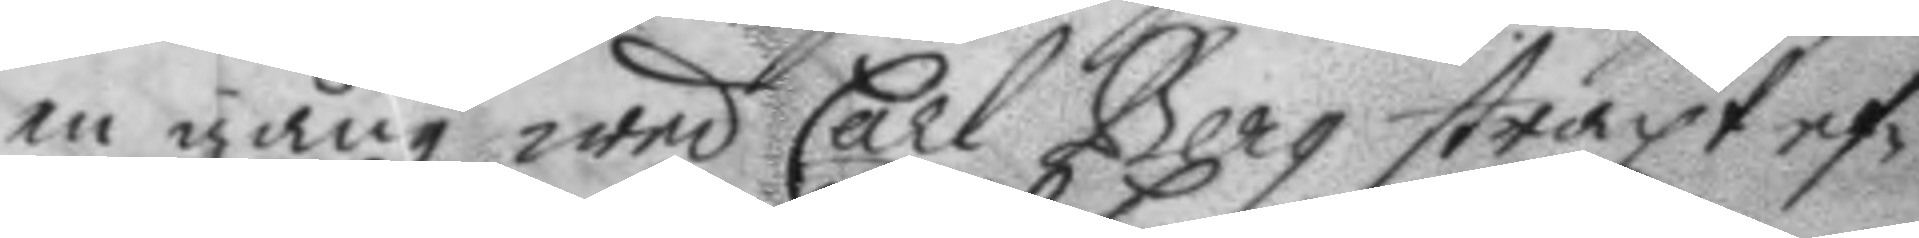en gång wed Carl Berg straxt ef¬
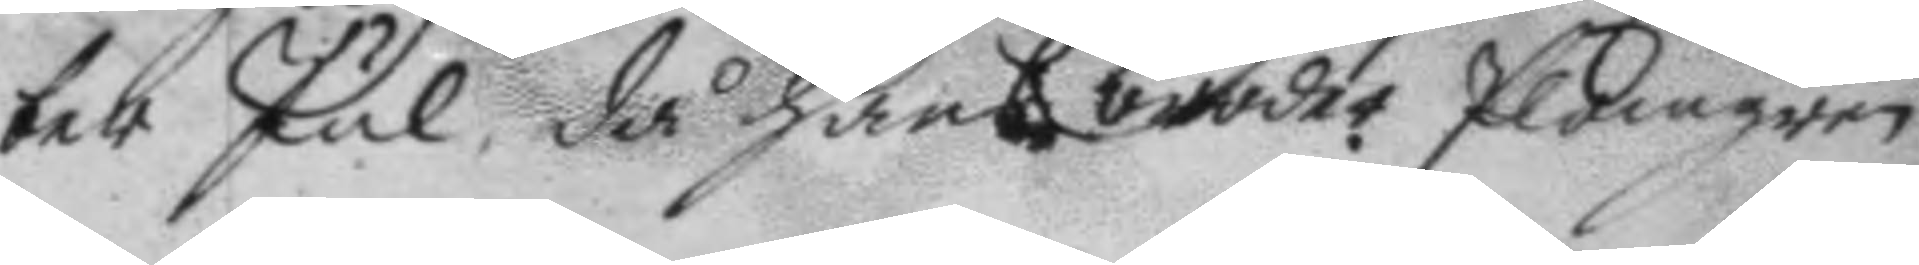ter Jul då hans broder plogman
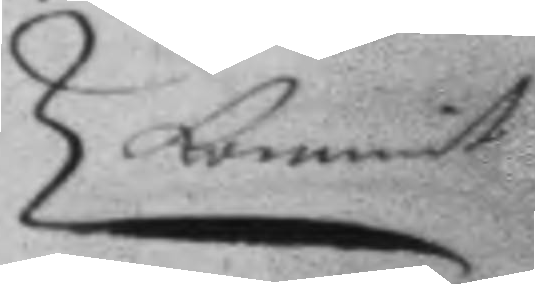kommit
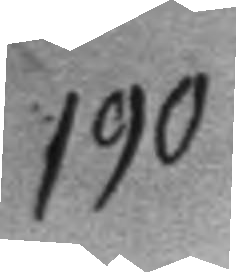190.
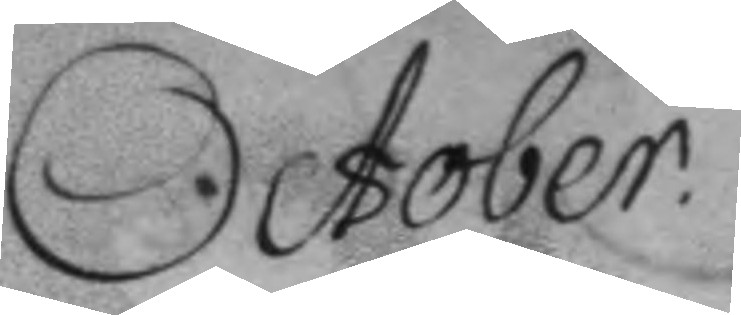October.
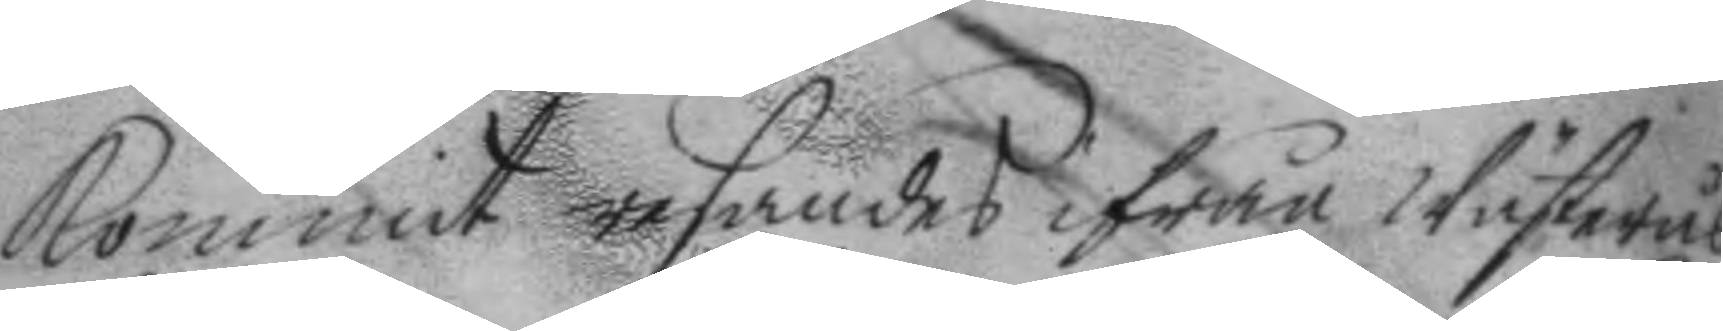kommit resandes ifrån Wästerås
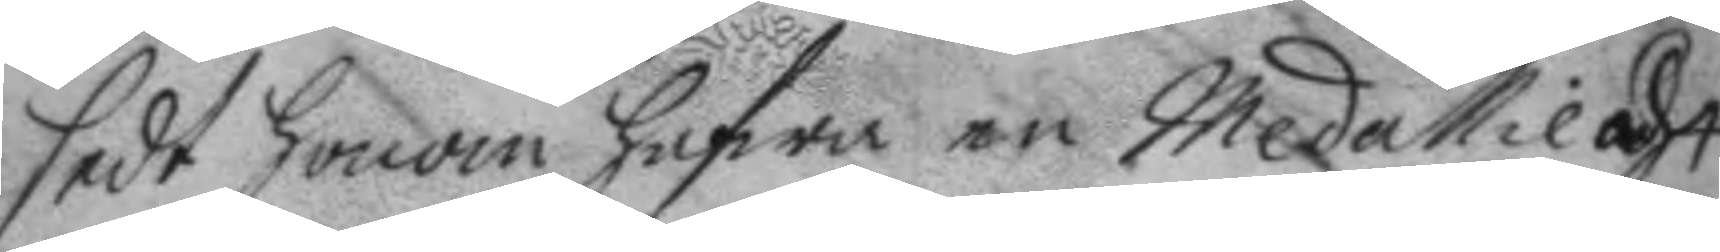sedt honom hafwa en Medallie á 4
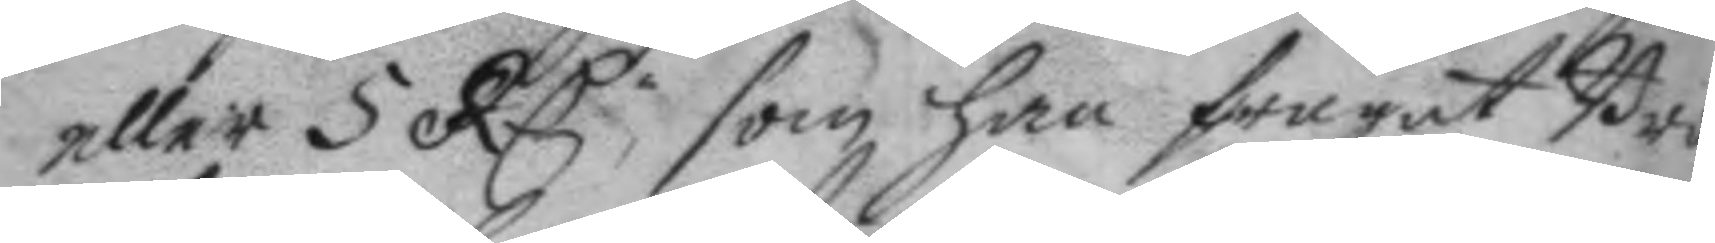eller 5 RC, som han frågat Bro¬
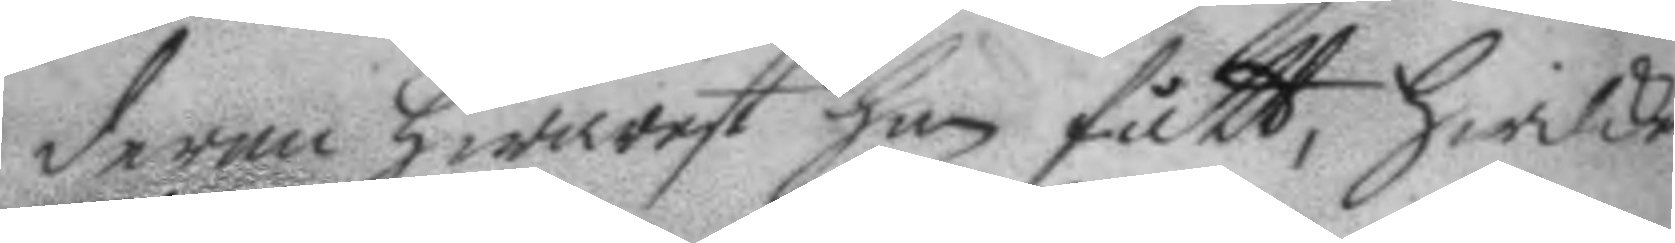dern hwarest han fått, hwilken
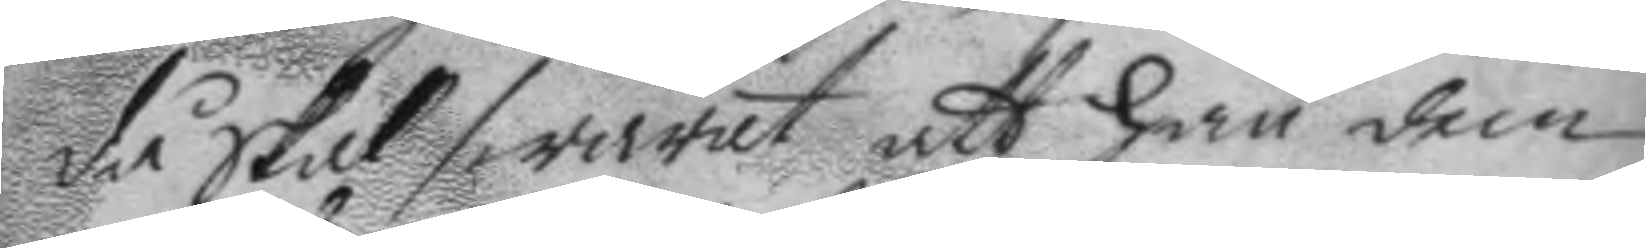då skal swarat att han den
